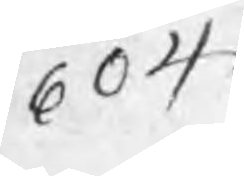604
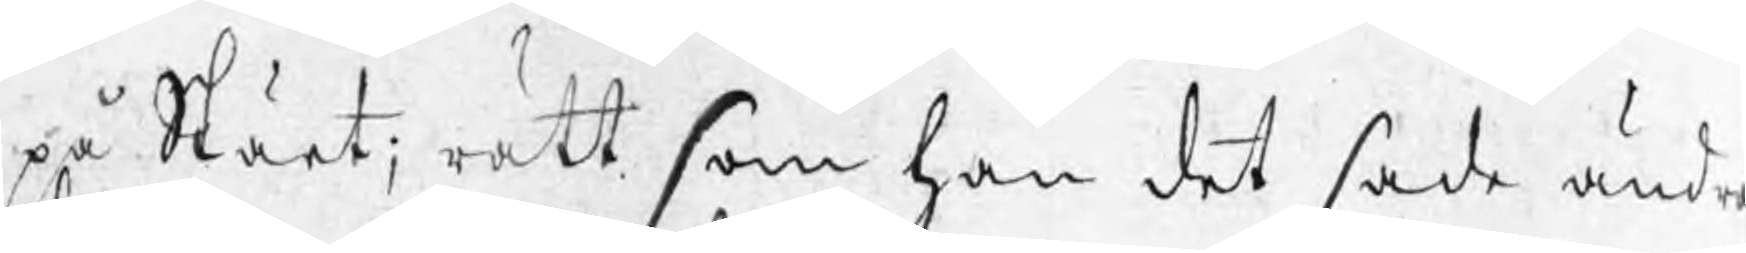på Skärt; rätt som han det sade ändra
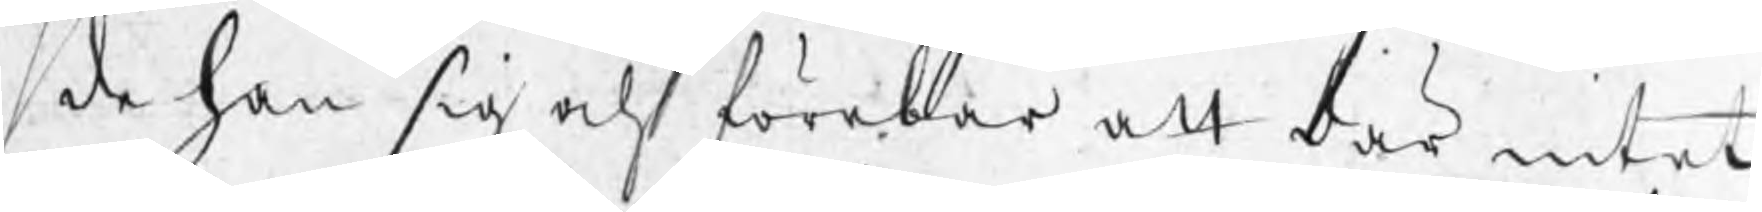de han sig och förebar att där intet
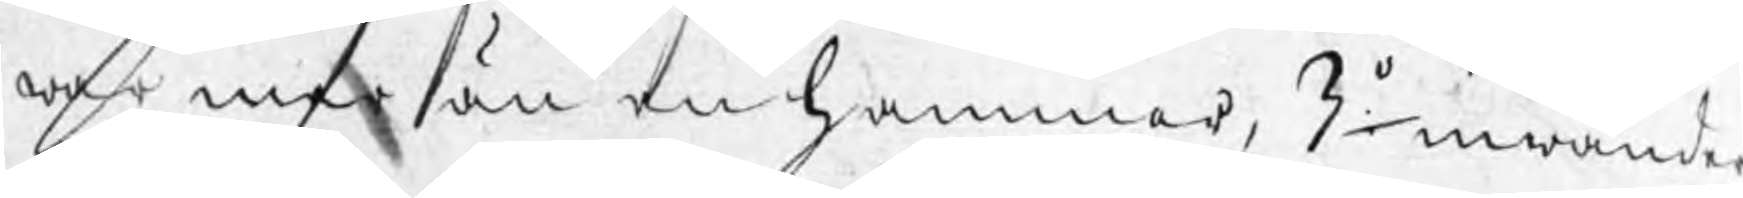war mer än en hammar, 3o inwänder
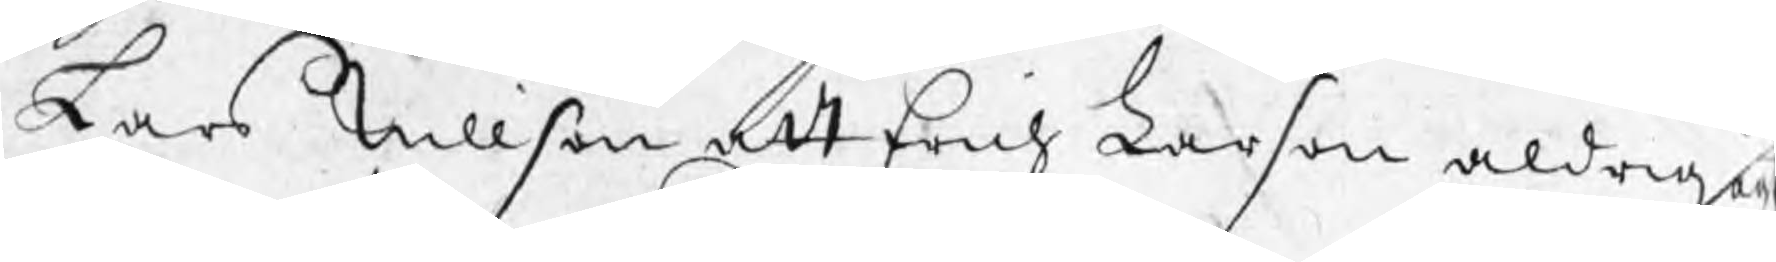Lars Nillson att Erich Larson aldrig äg
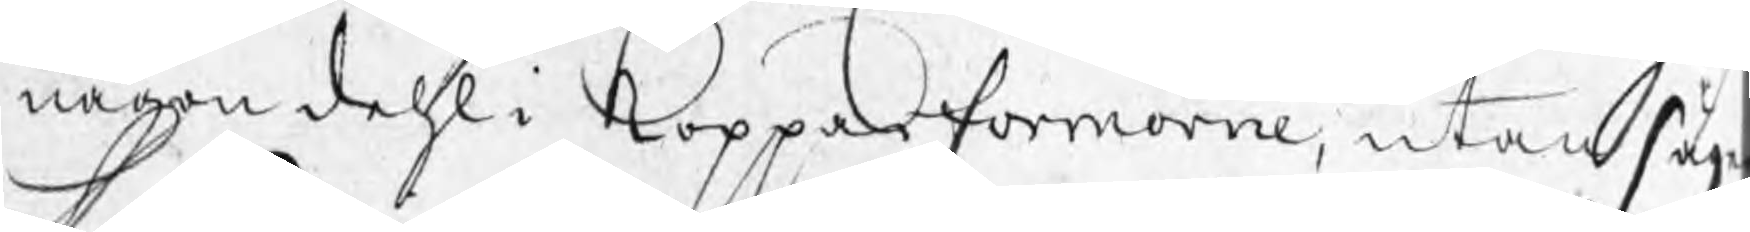någon dehl i Kopparformorne, utan säge
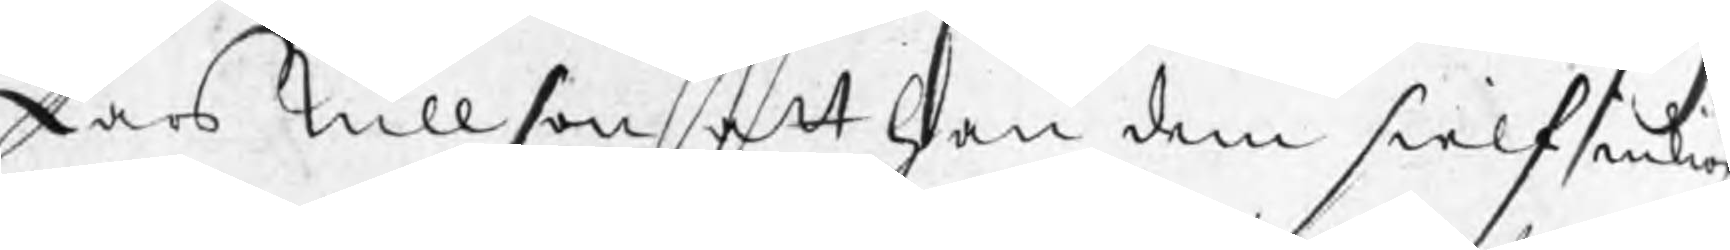Lars Nillson att han dem sielf inkiö
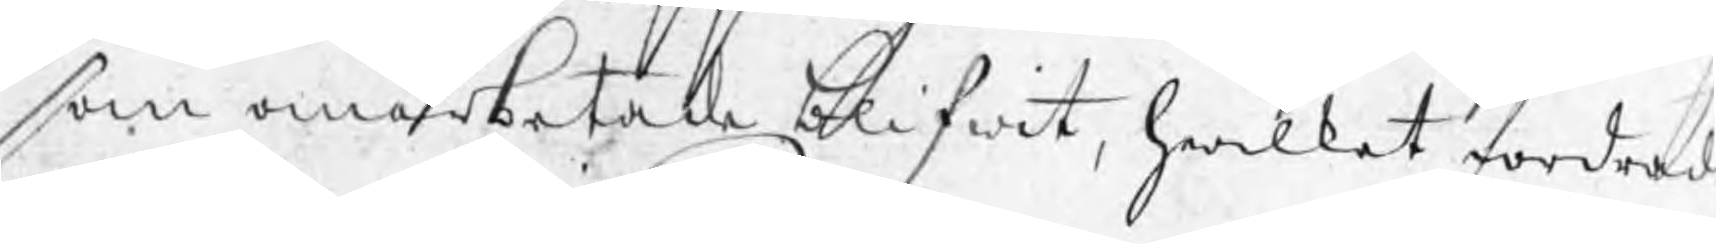som omarbetade blifwit, hwilket fordrad
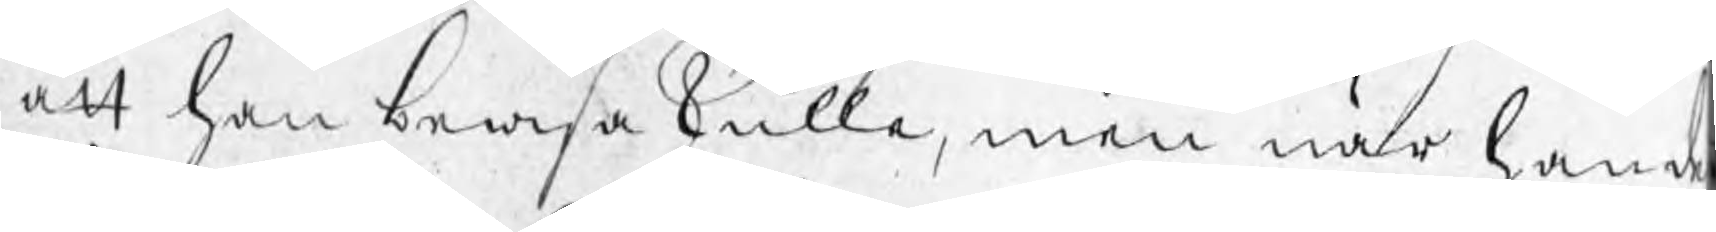att han bewisa skulle, men när han d
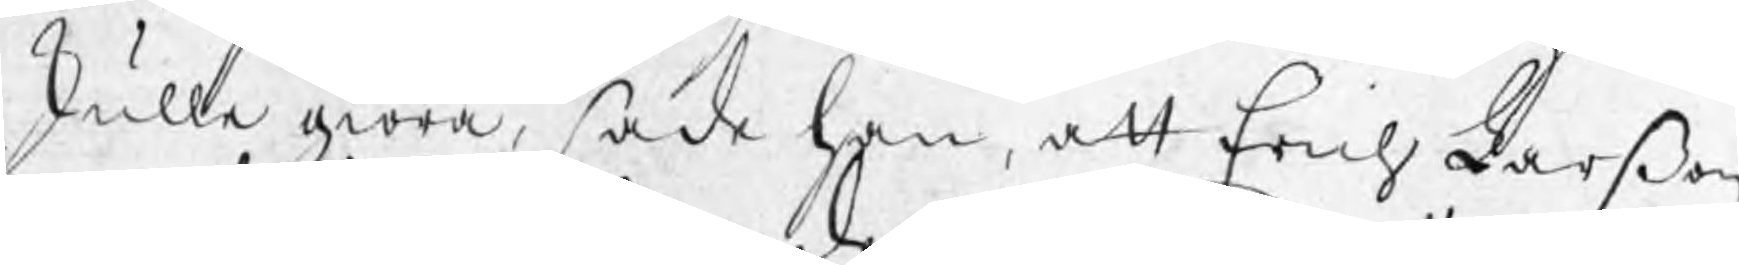skulle giöra, sade han, att Erich Larßon
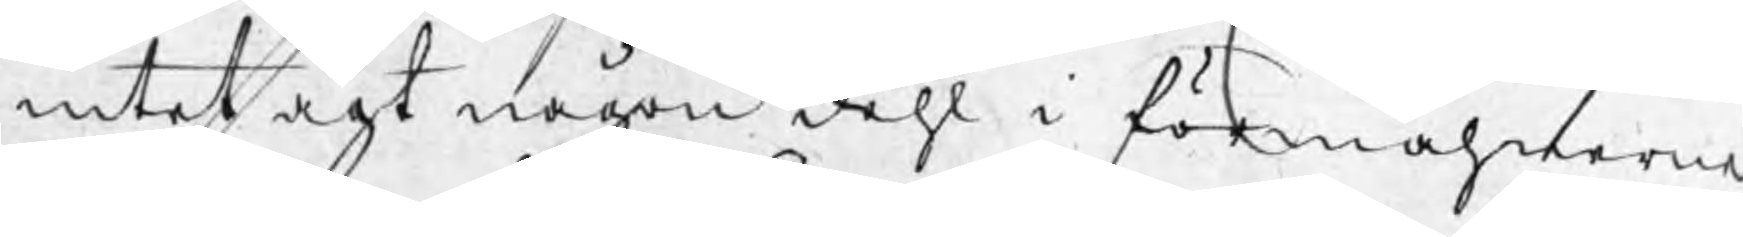intet ägt någon dehl i förmåhnerne
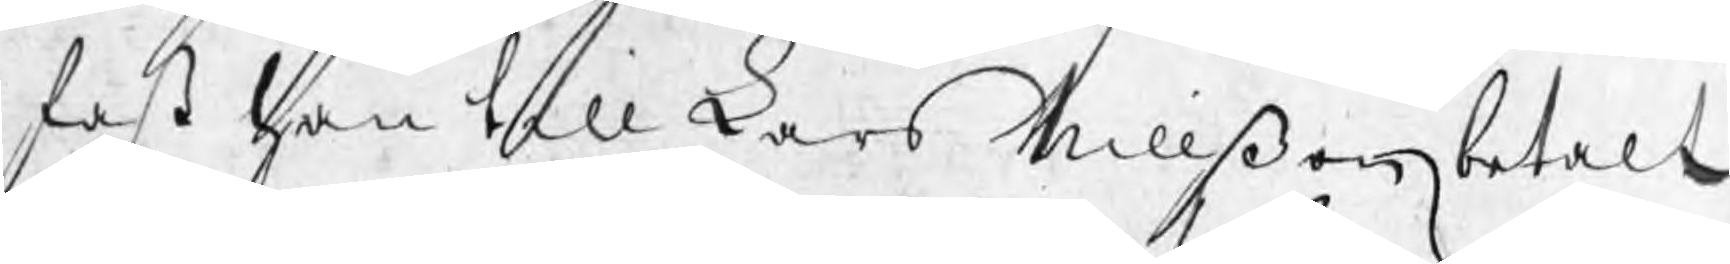fast han till Lars Nillßon betalt
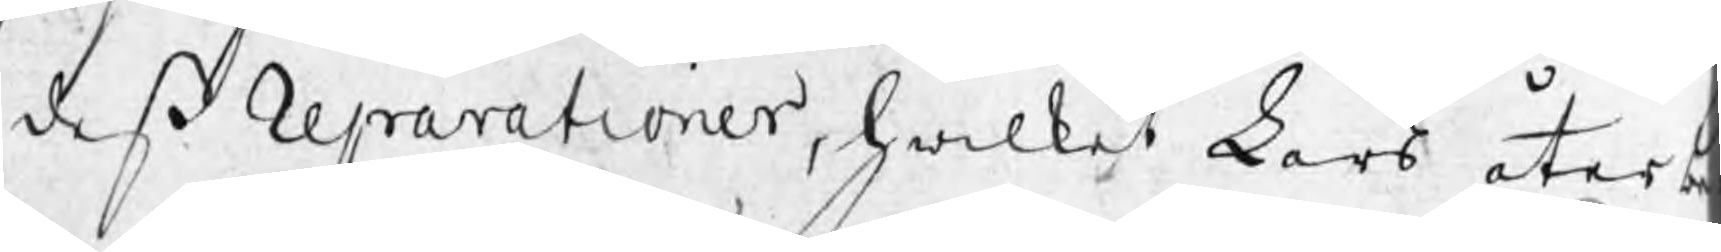deß Reparationer, hwilket Lars åter b
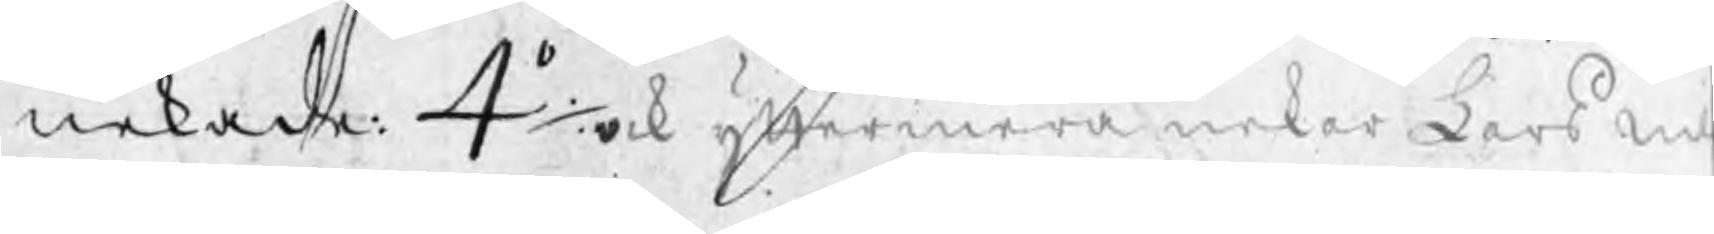nekade: 4o./. ock yttermera nekar Lars Nil
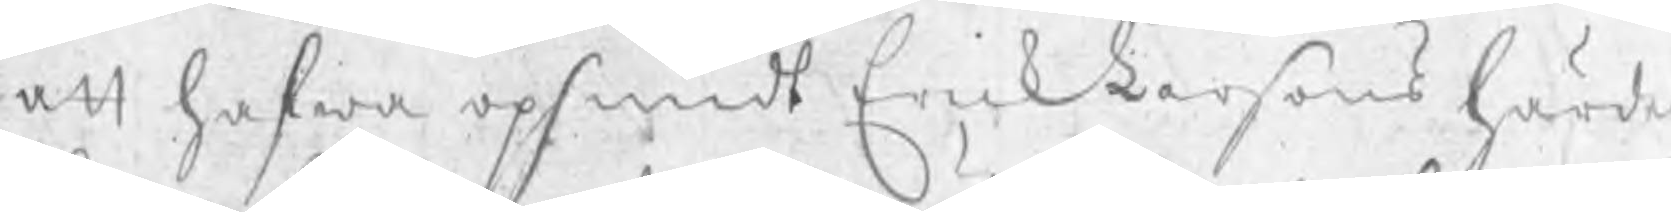att hafwa opsmidt Erick Larsons härde
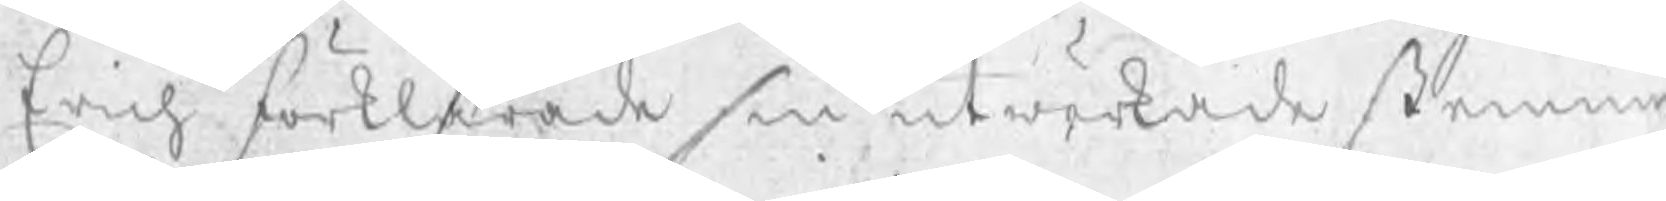Erich förklarade sin utwärkade stemnin
